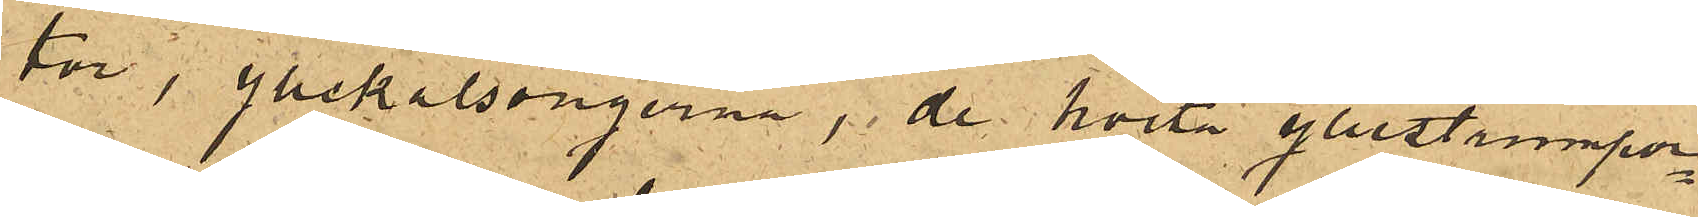tor , yllekalsongerna, de hvita yllestrumpor¬
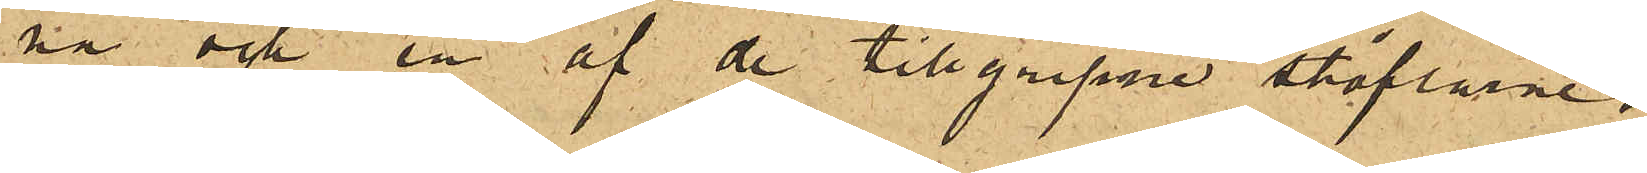na och en af de tillgripne stöflarne.
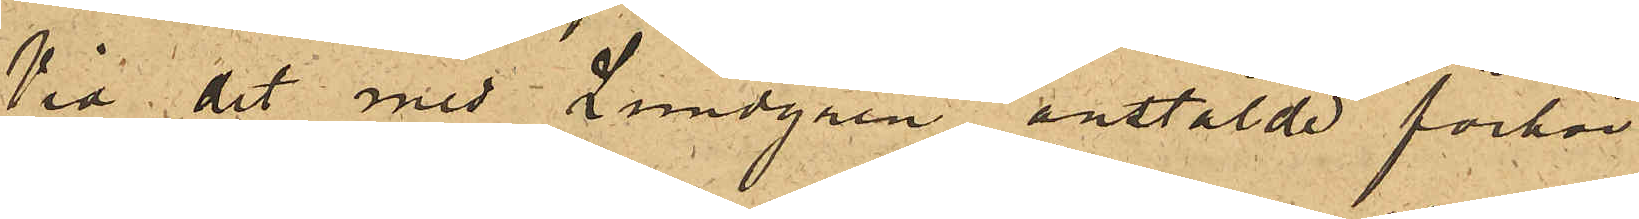Vid det med Lundgren anstälde förhör
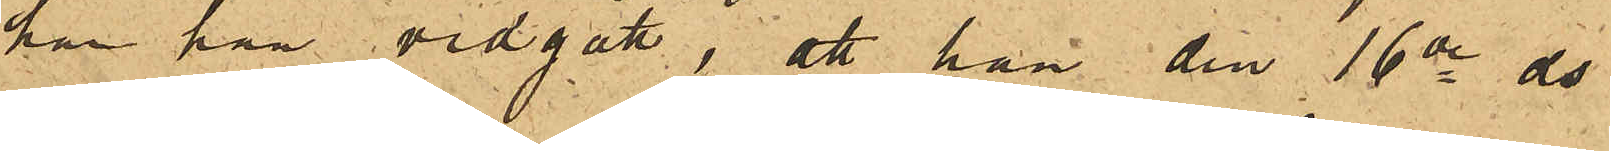har han vidgått, att han den 16de ds
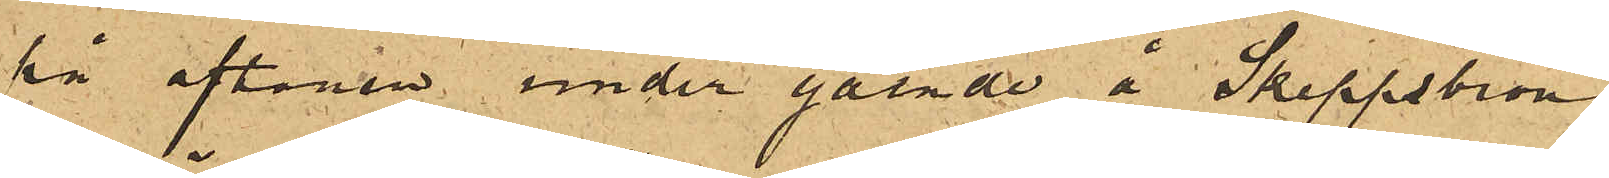på aftonen under gående å Skeppsbron
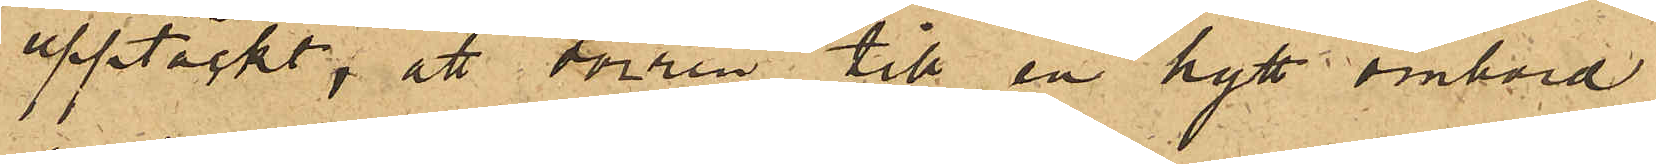upptäckt, att dörren till en hytt ombord
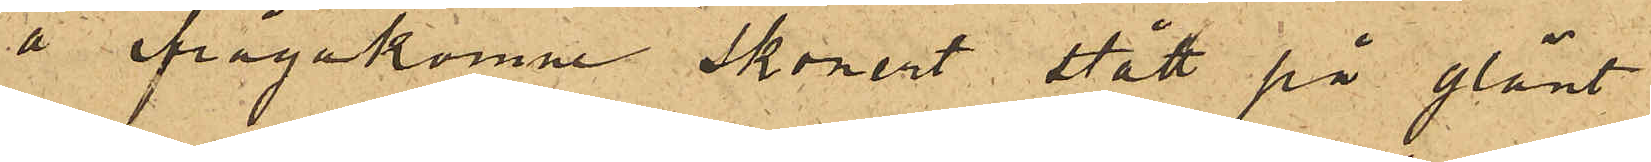å ifrågakomne skonert stått på glänt;
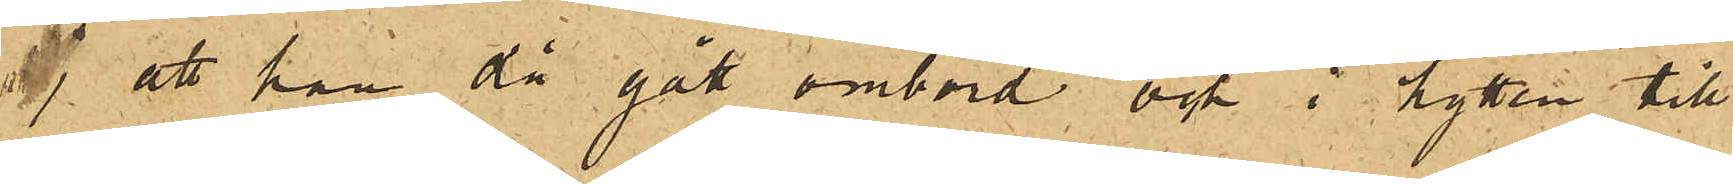 att han då gått ombord och i hytten till¬
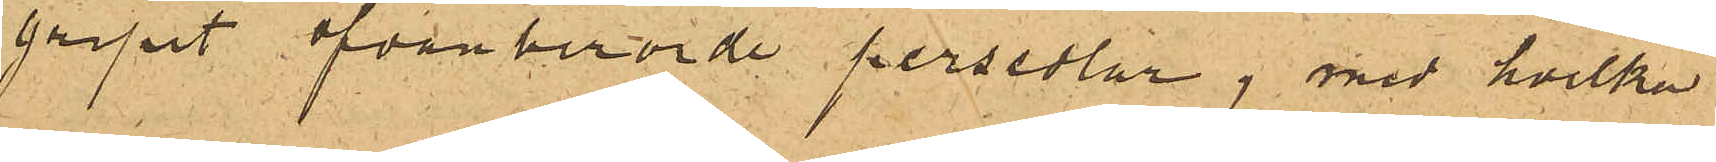gripit ofvanberörde persedlar, med hvilka
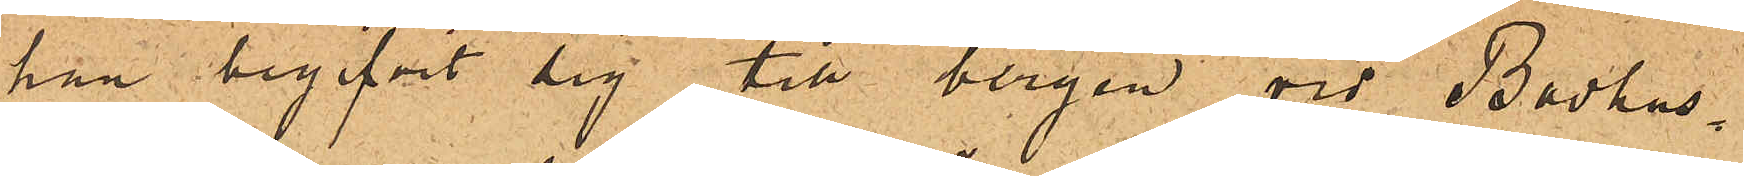han begifvit sig till bergen vid Badhus¬
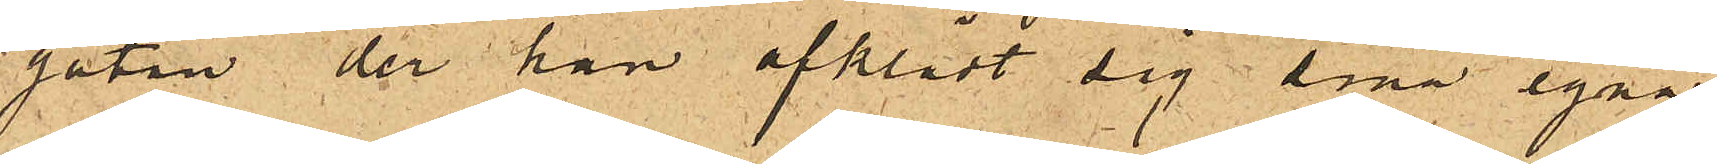gatan der han afklädt sig sina egna
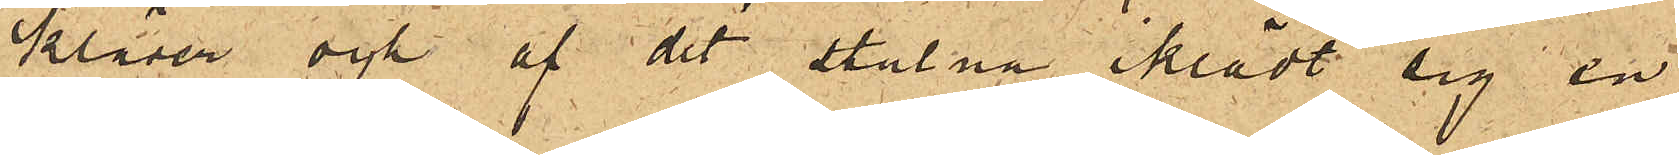kläder och af det stulna iklädt sig en
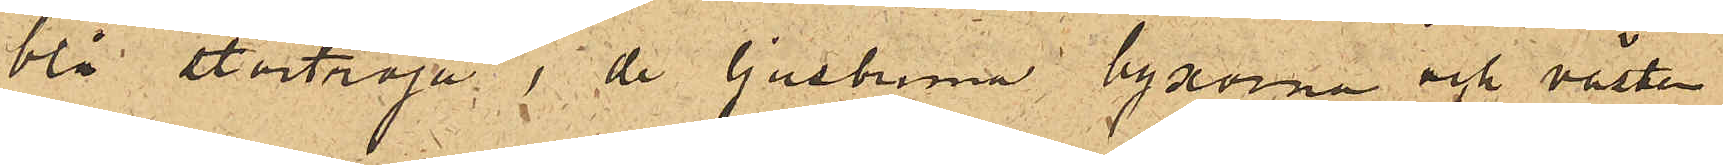blå stortröja, de ljusbruna byxorna och västen
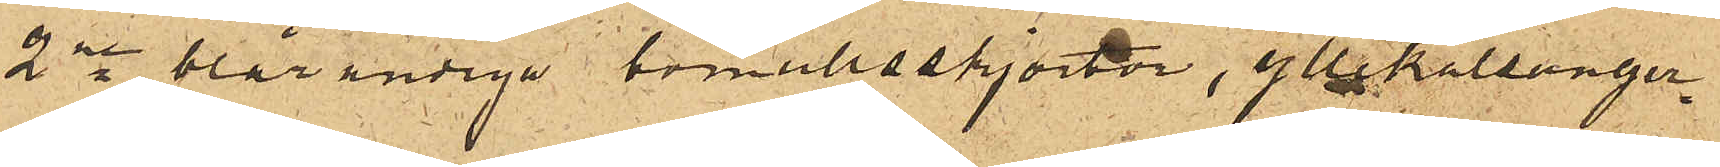2ne blårandiga bomullsskjortor, yllekalsonger¬
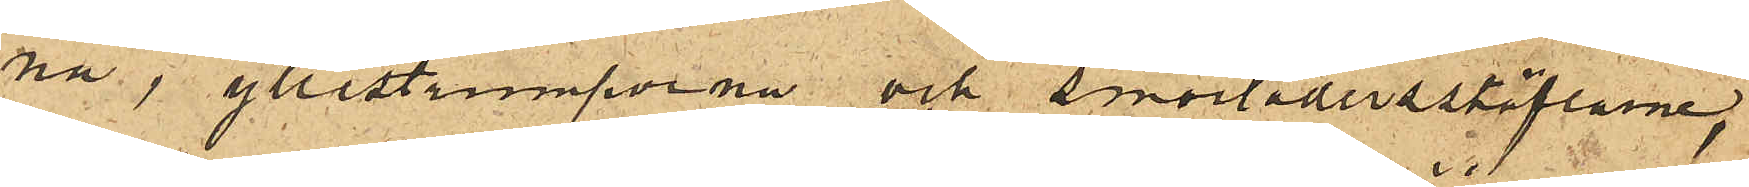na, yllestrumporna och smorlädersstöflarne;
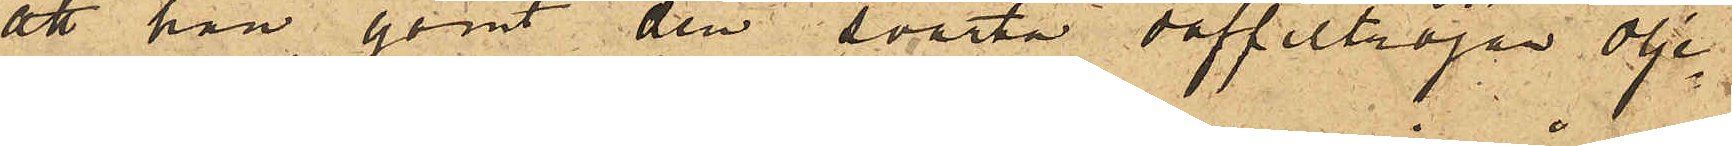att han gömt den svarta doffeltröjan olje¬
